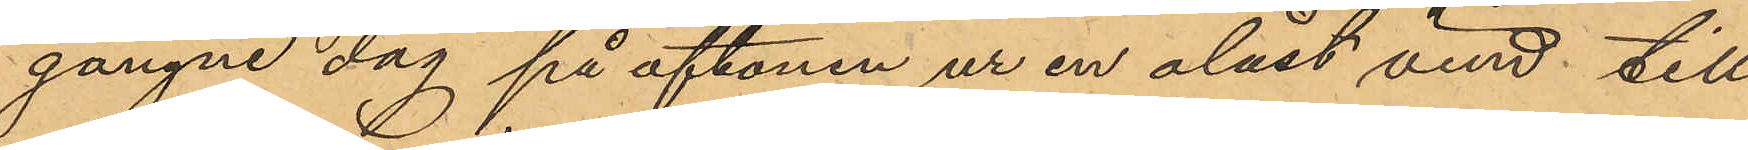gångne dag på aftonen ur en olåst vind till
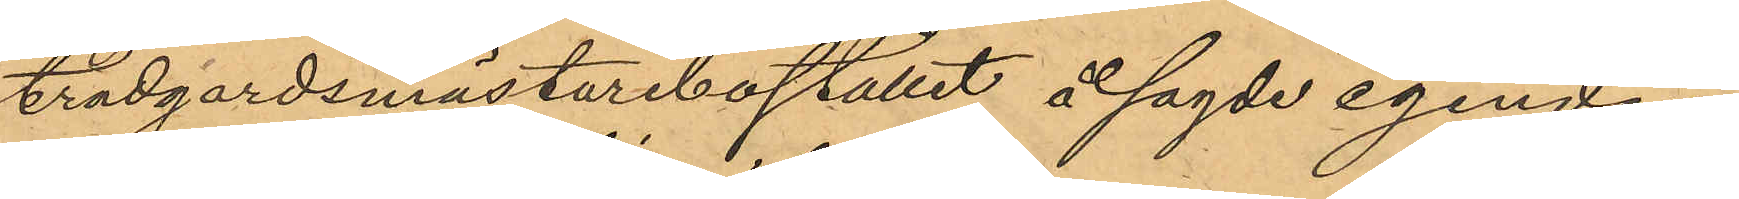trädgårdsmästarebostället å sagde egendom,
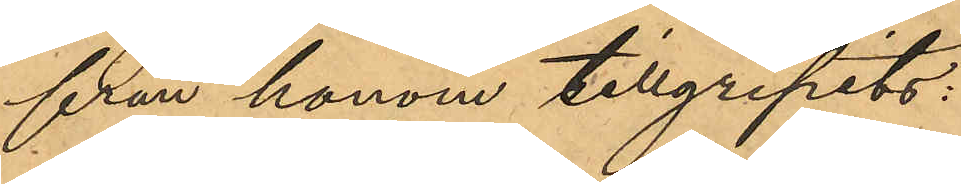från honom tillgripits:
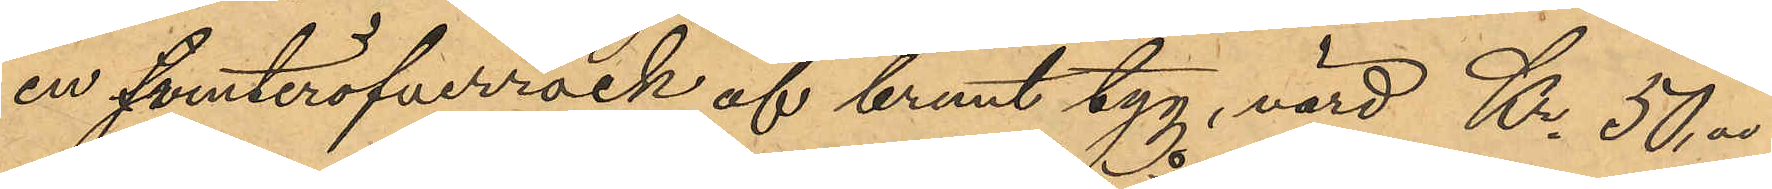en vinteröfverrock af brunt tyg, värd Kr. 50,00
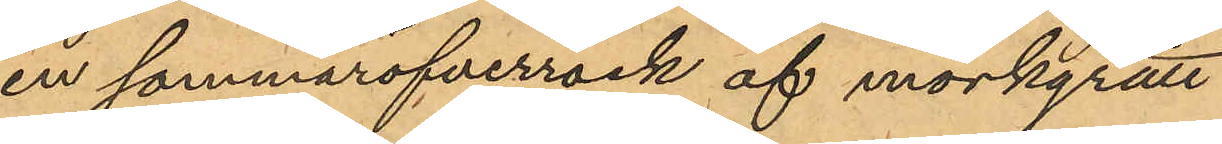en sommaröfverrock af mörkgrått
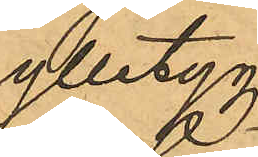ylletyg
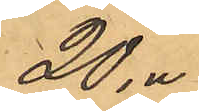20,00
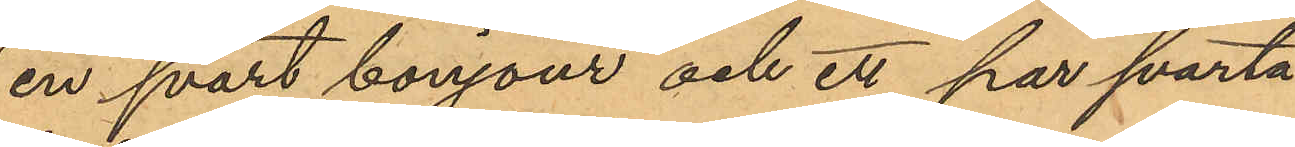en svart bonjour och ett par svarta
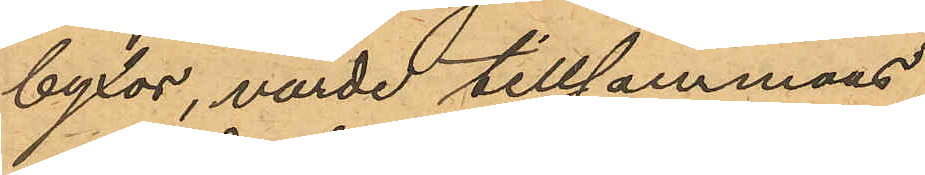byxor, värde tillsammans
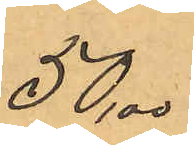50,00
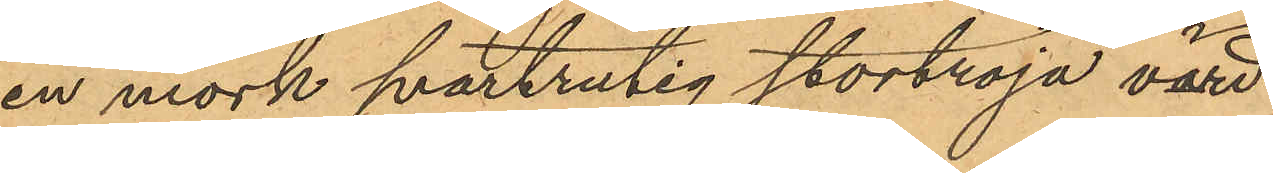en mörk svartrutig stortröja värd
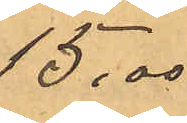15,00
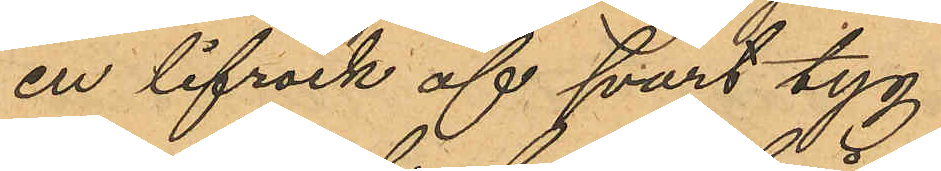en lifrock af svart tyg
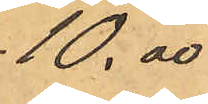10,00
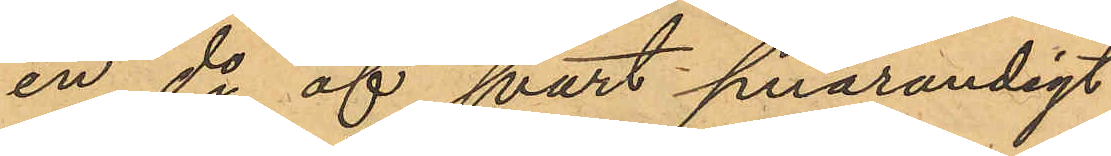en do af svart smårandigt
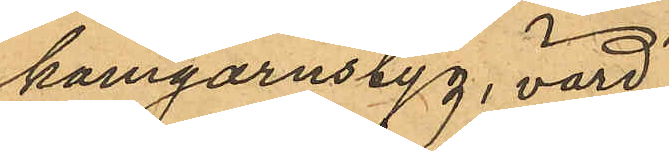kamgarnstyg, värd
